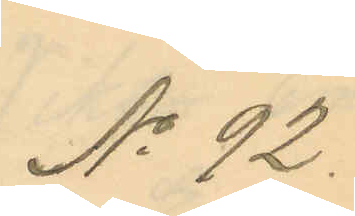No 92.
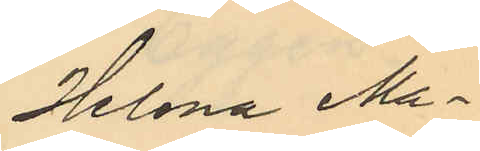Helena Ma¬
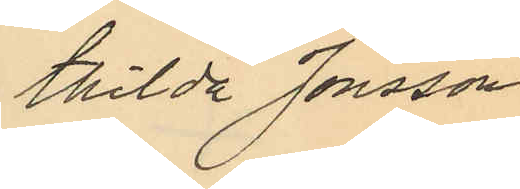thilda Jonsson
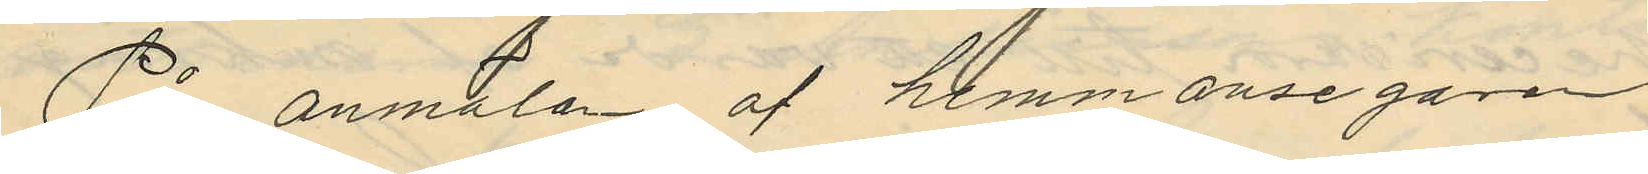På anmälan af hemmansegaren
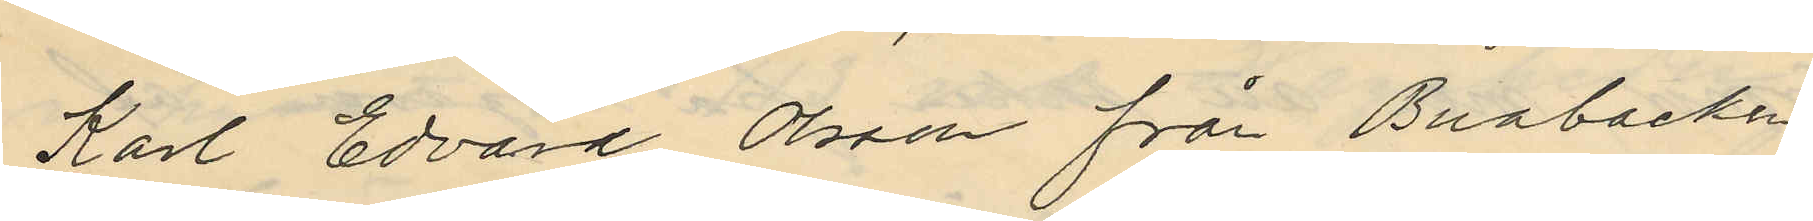Karl Edvard Olsson från Buabacken
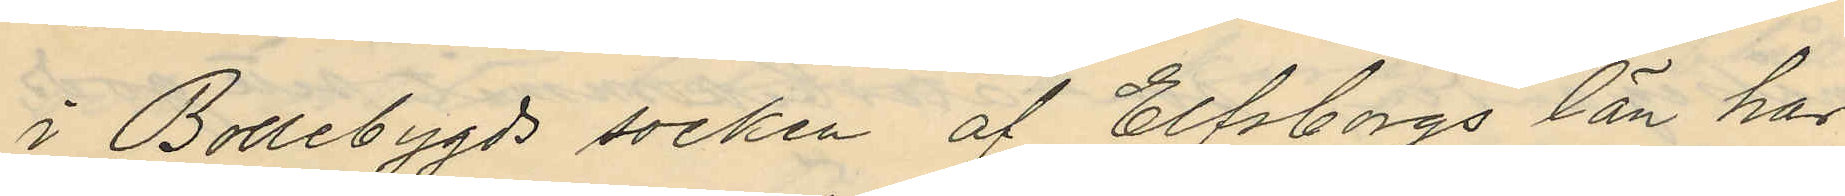i Bollebygds socken af Elfsborgs län har
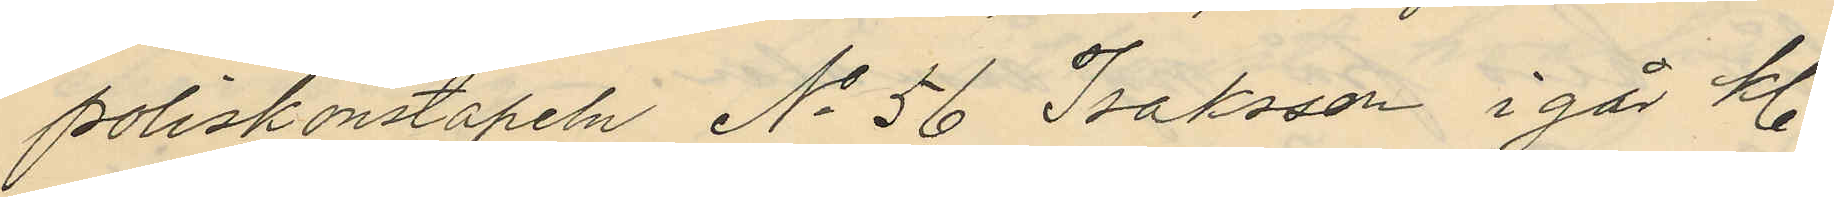poliskonstapeln No 56 Isaksson i går kl.
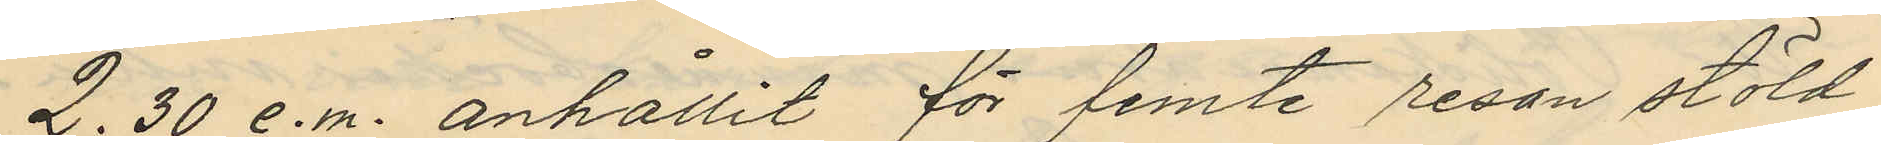2.30 e.m. anhållit för femte resan stöld
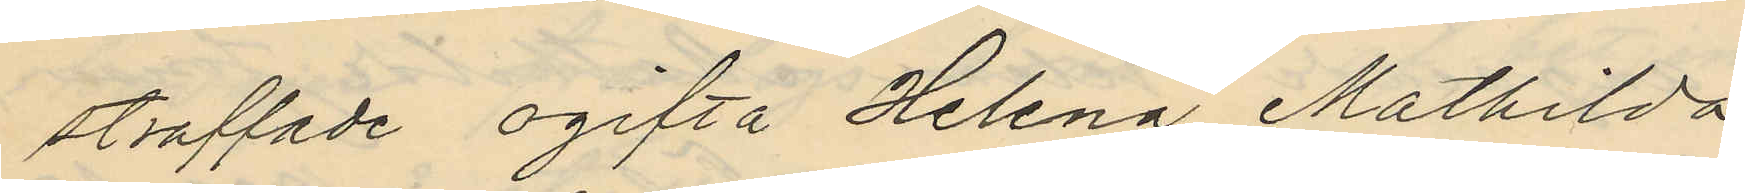straffade ogifta Helena Mathilda
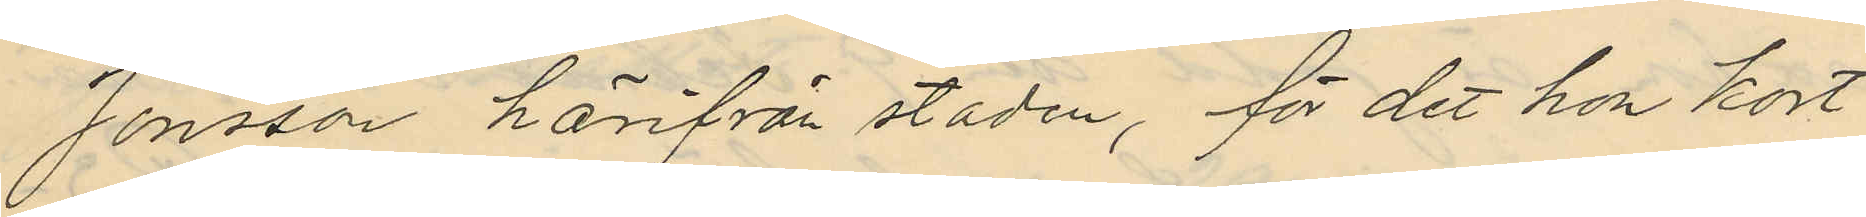Jonsson härifrån staden, för det hon kort
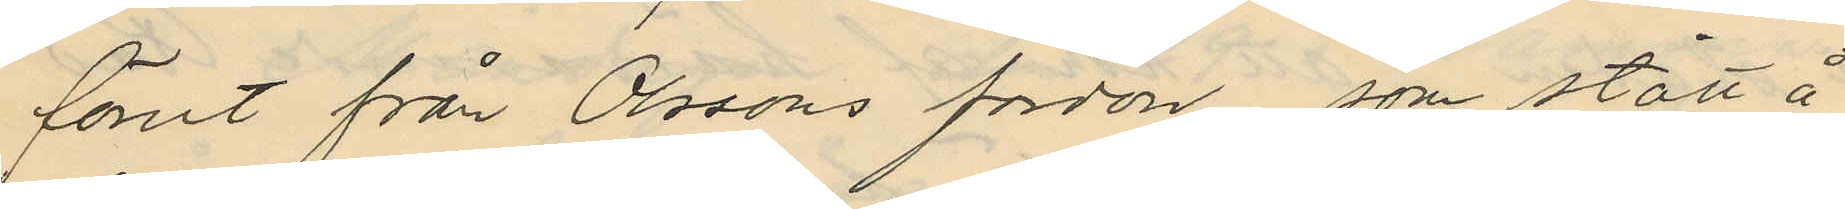förut från Olssons fordon, som stått å
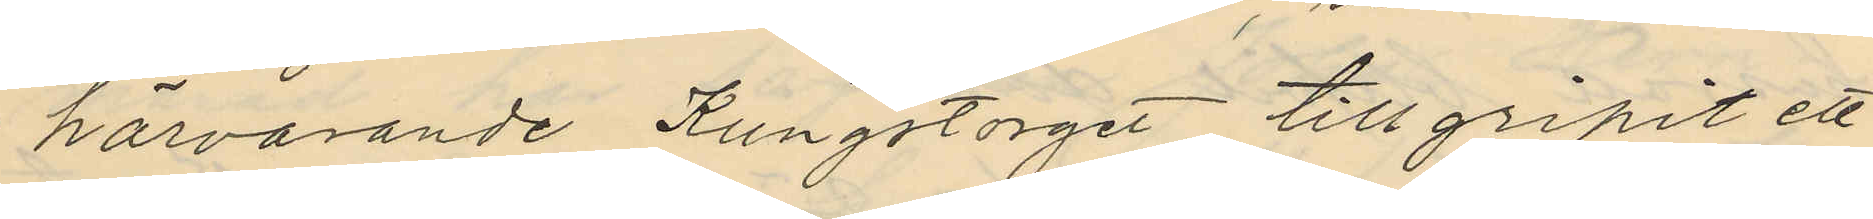härvarande Kungstorget tillgripit ett
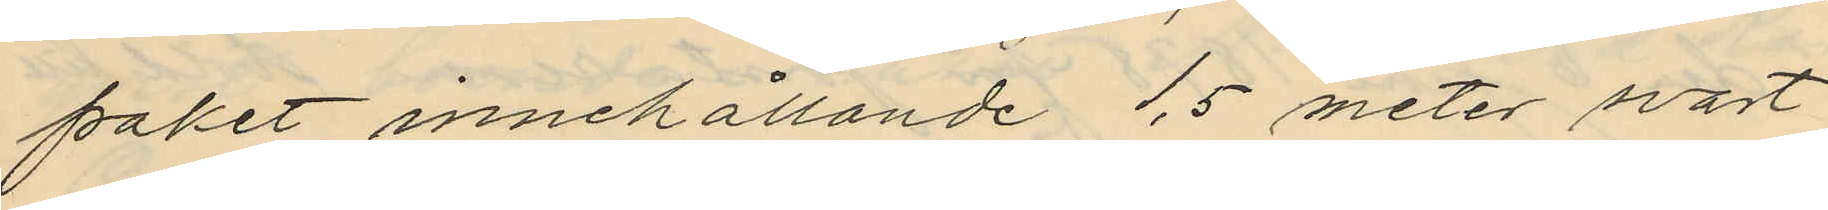paket innehållande 1,5 meter svart
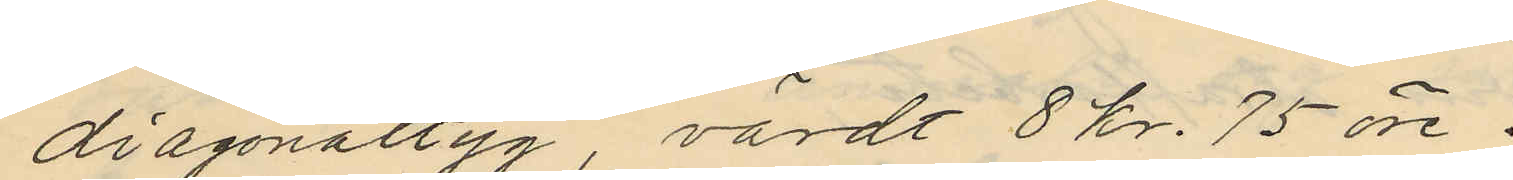diagonaltyg, värdt 8 kr. 75 öre.
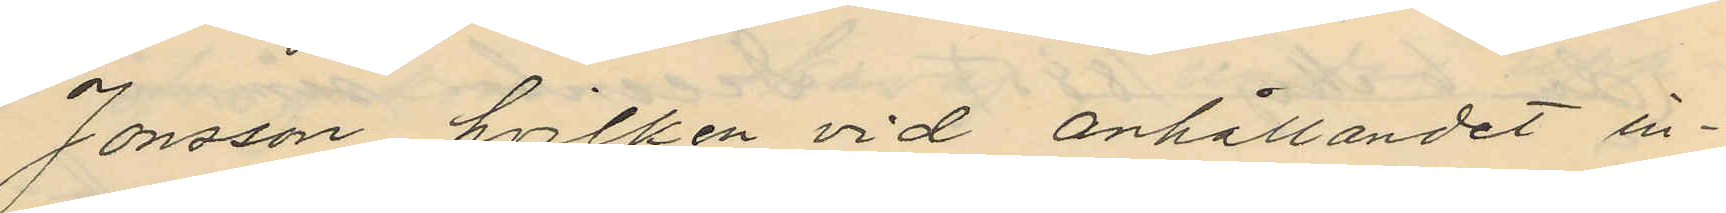Jonsson, hvilken vid anhållandet in¬
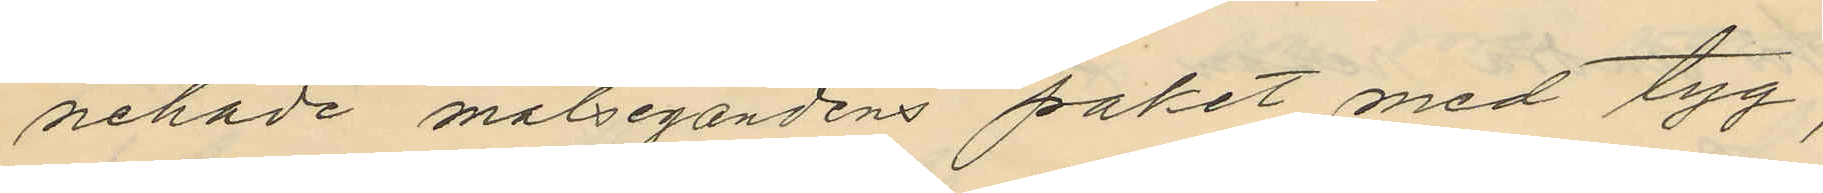nehade målsegandens paket med tyg,
